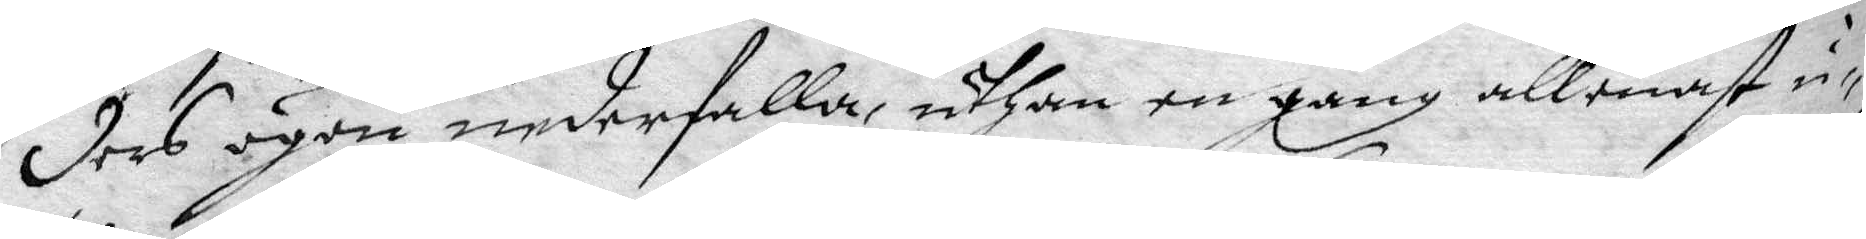ders ögon nederfalla, uthan en gång allenast u¬
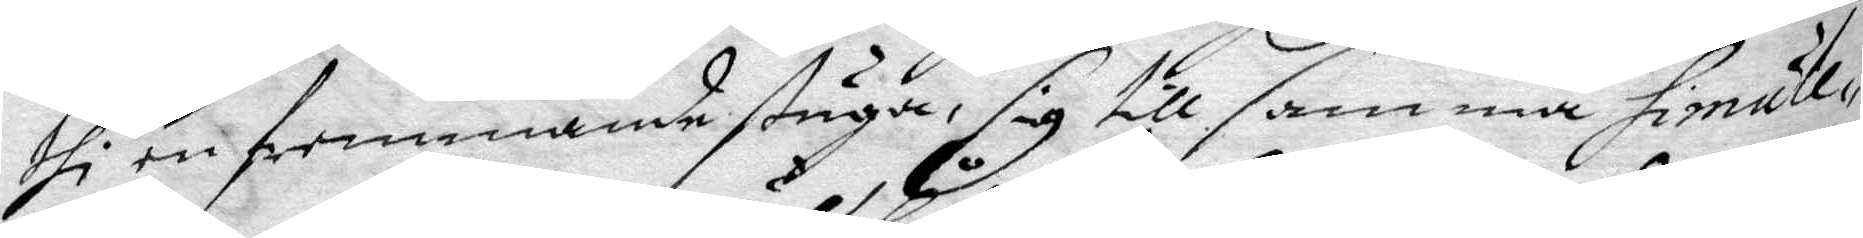thi en fremmande stuga, sig till samma simule¬¬
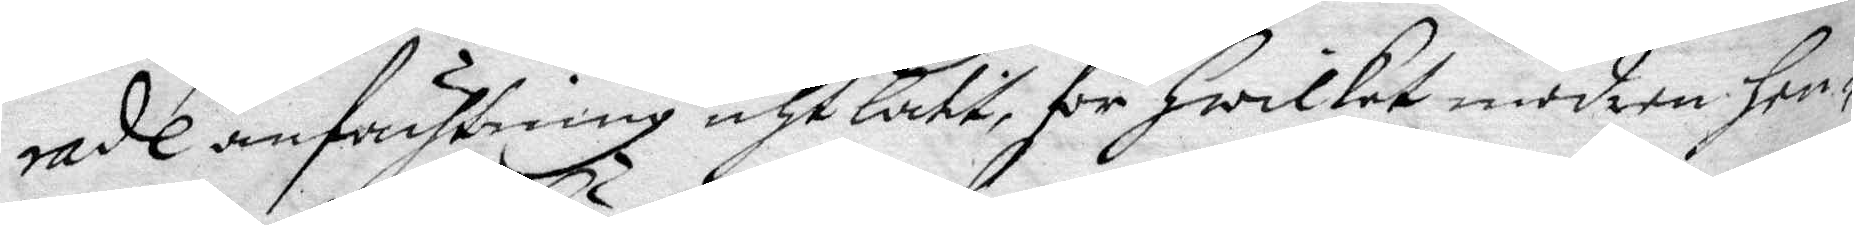rade anfächtning och Låtit, för hwilket modren hen¬
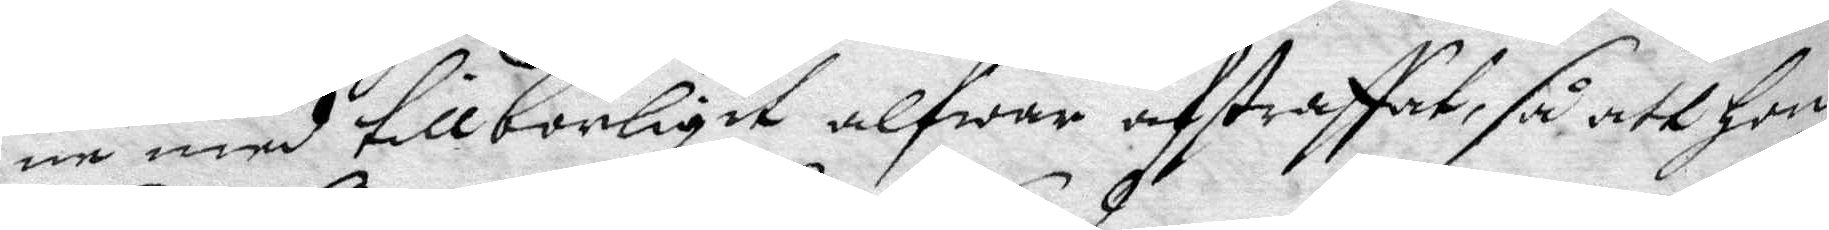ne med tillbörligit alfwar afstraffat, så att hon
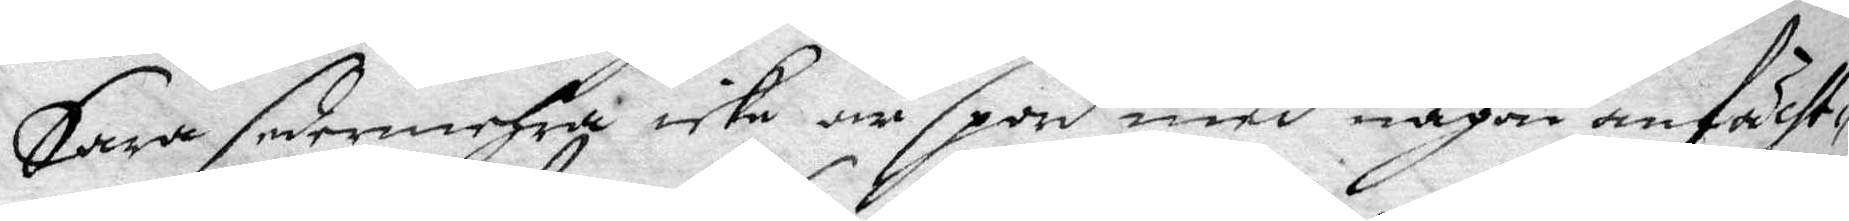Sara sedermehra icke är spord med någon anfächt¬
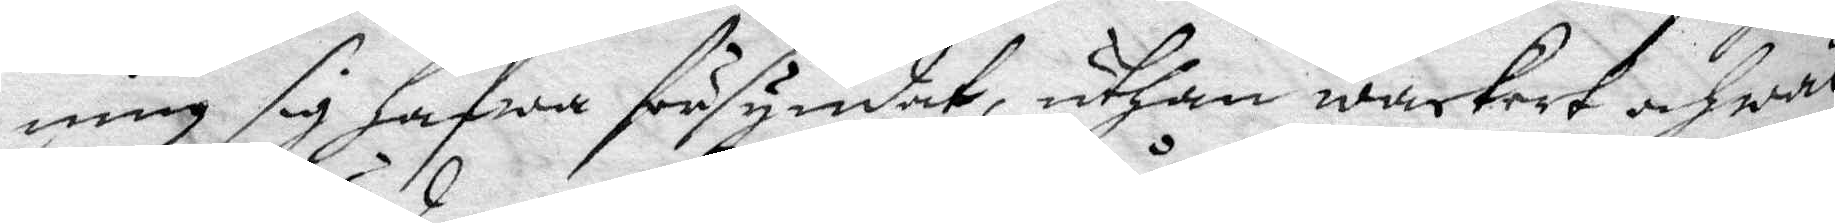ning sig hafwa försyndat, uthan wackert och wäl
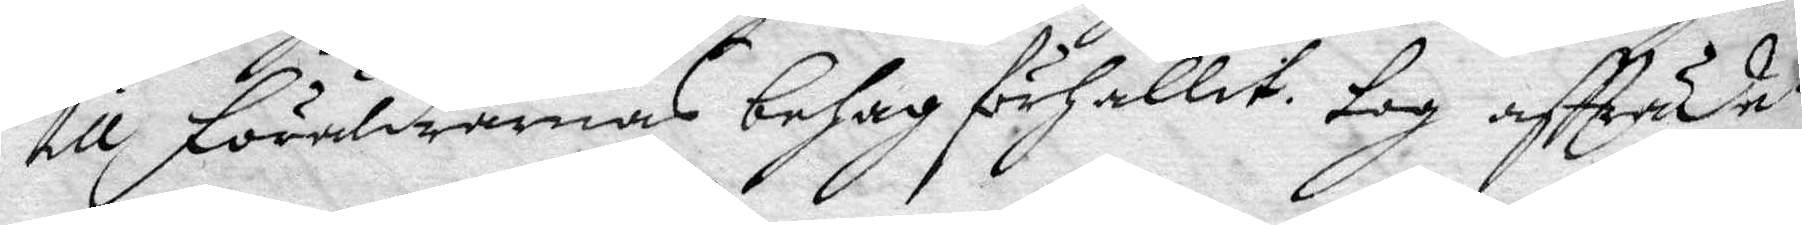till föräldrarnas behag förhållit, tog affträde.
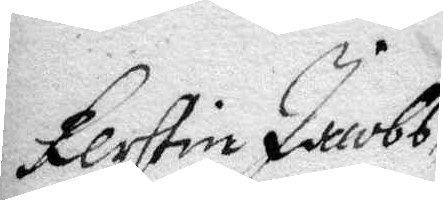Kerstin Jacobs¬ 
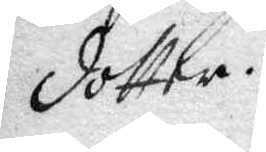dotter.
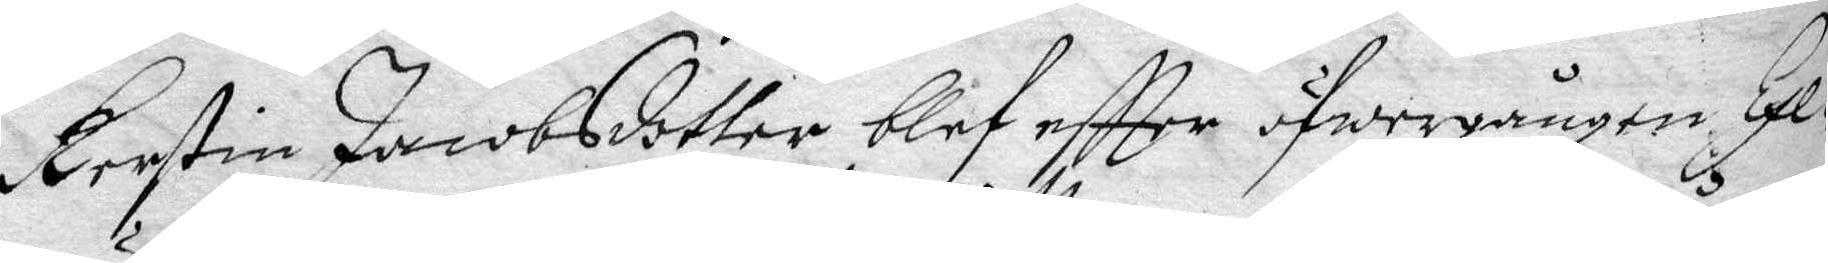Kerstin Jacobsdotter blef eftter öfwergången Exe¬
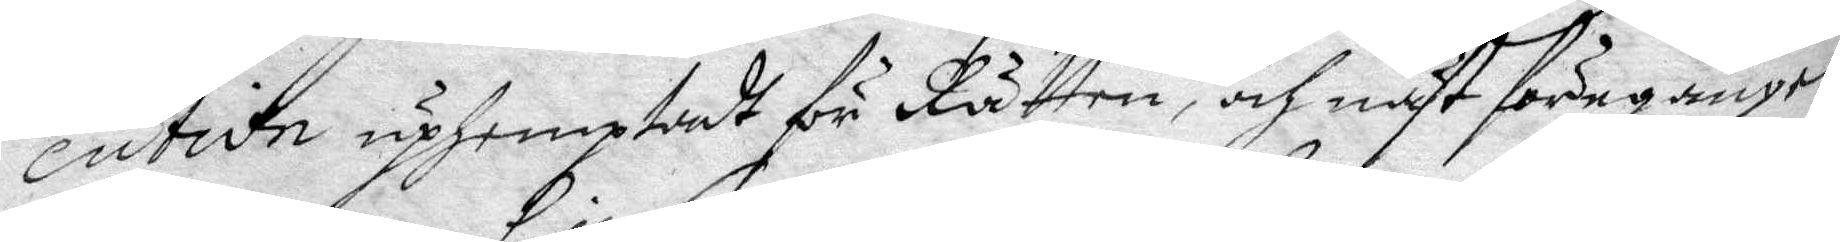cution uphemptadt för Rätten, och näst föregången
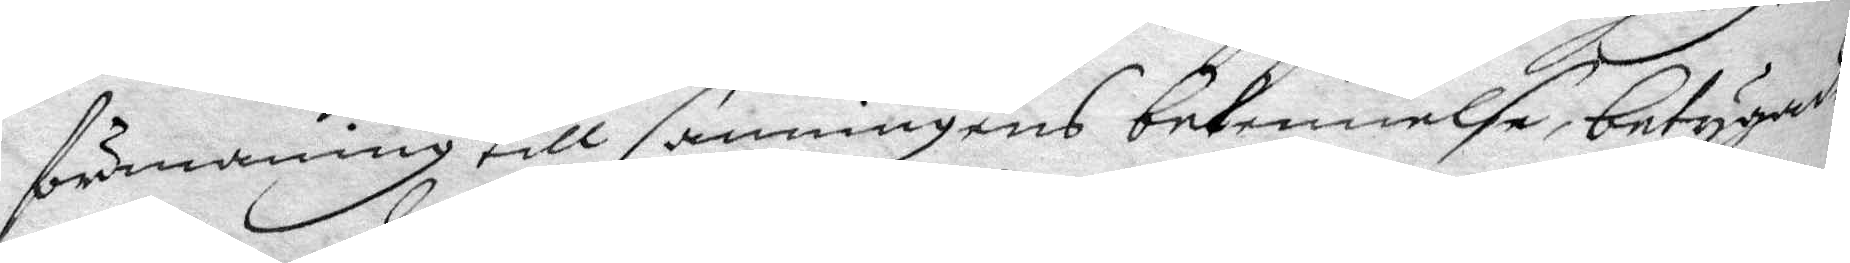förmaning till sanningens bekennelse, betygade
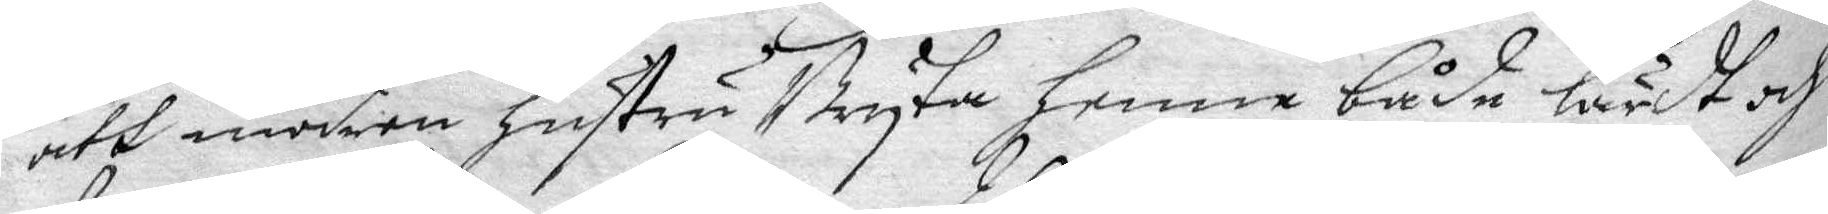att modren hustru Bryta henne både lärdt och
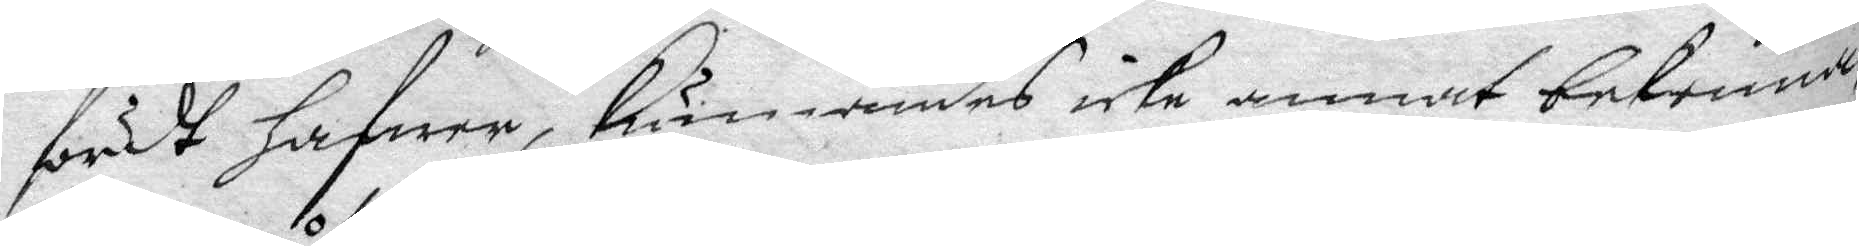fördt hafwer, kunnandes icke annat bekenna,
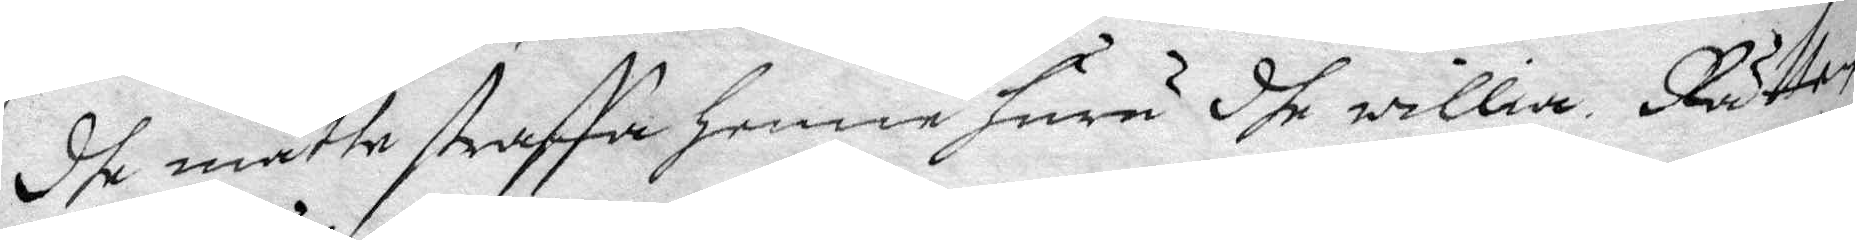dhe måtte straffa henne huru dhe willia. Rätten
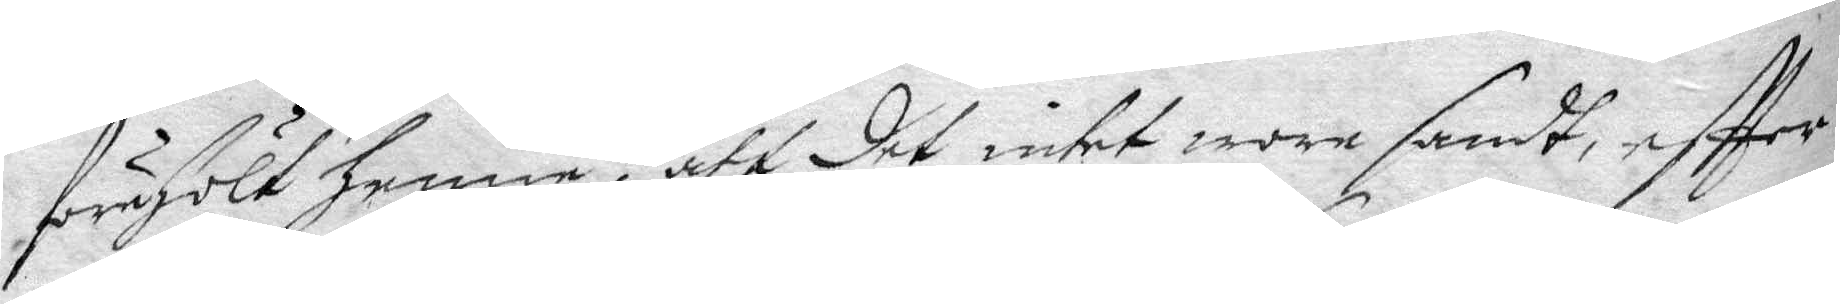förehölt henne, att det intet wore sandt, eftter
